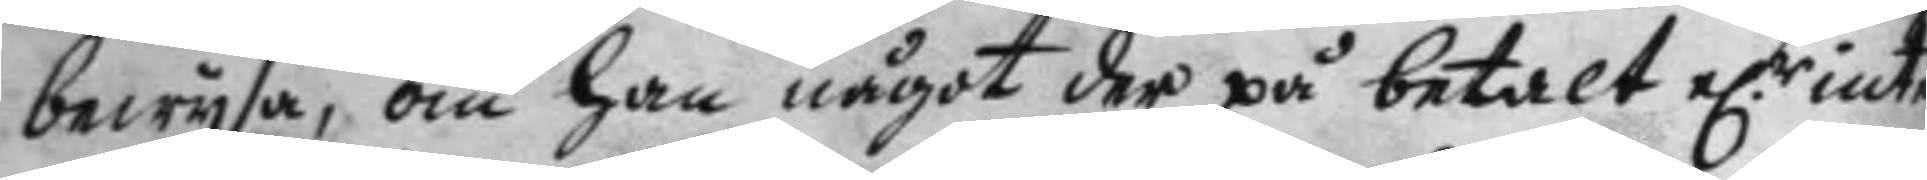bewysa, om han något der på betalt e.r inte
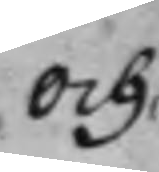och 
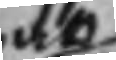at
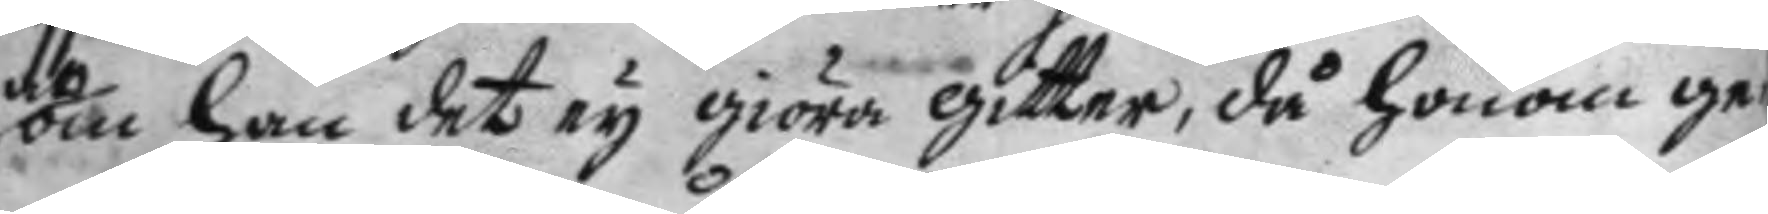om han det ey giöra gitter, då honom ge¬
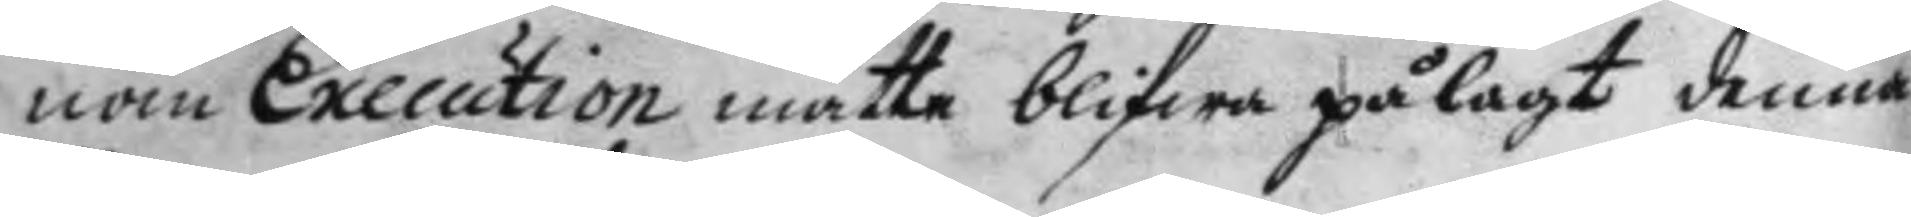nom Execution måtte blifwa pålagt denna
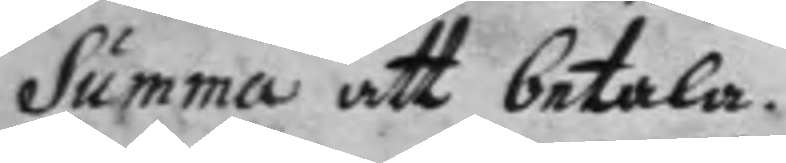Summa att betala.
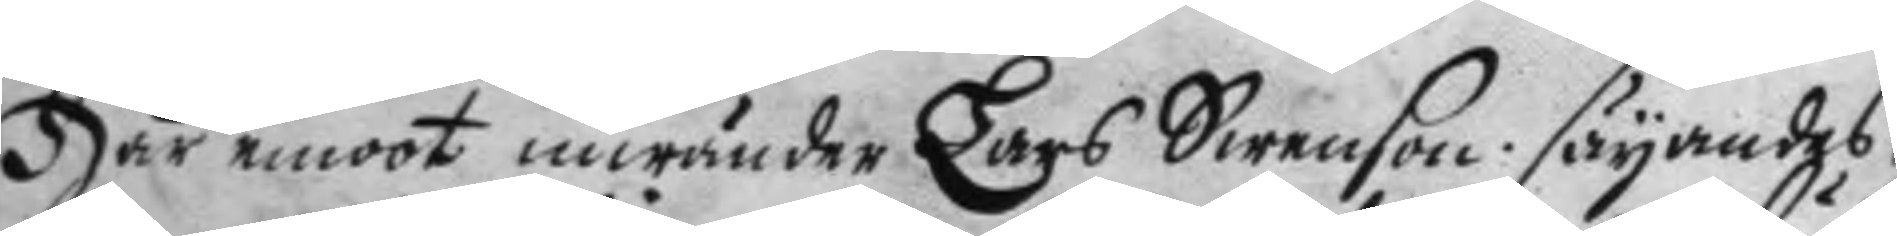Här emot inwänder Lars Swenson säyandes
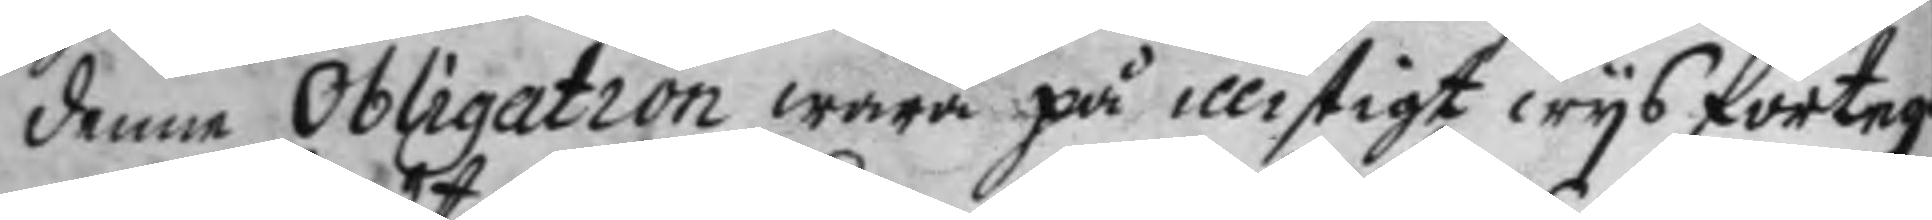denne Obligation wara på illistigt wys förteg
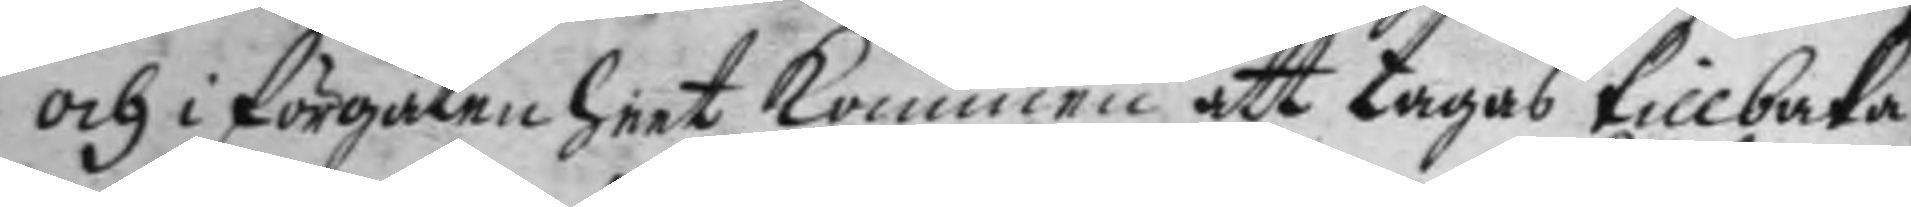och i förgätenheet kommen att tagas tillbaka,
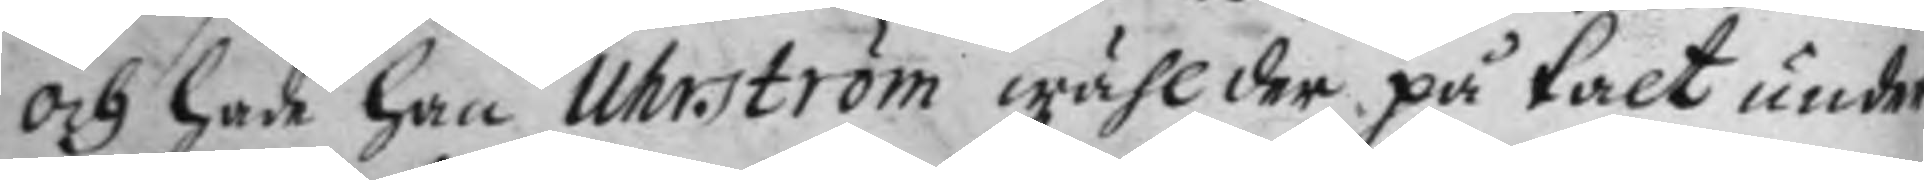och hade han Uhrström wähl der på talt under
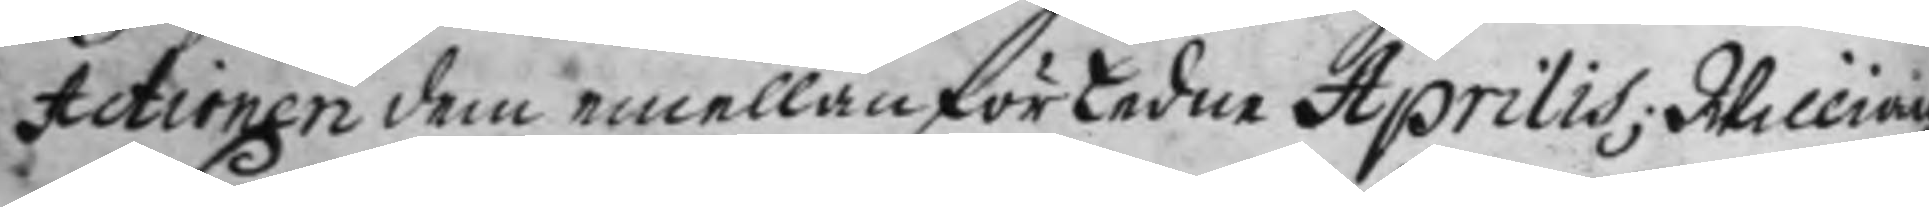Actionen dem emellan förledne Aprilis; Willian¬
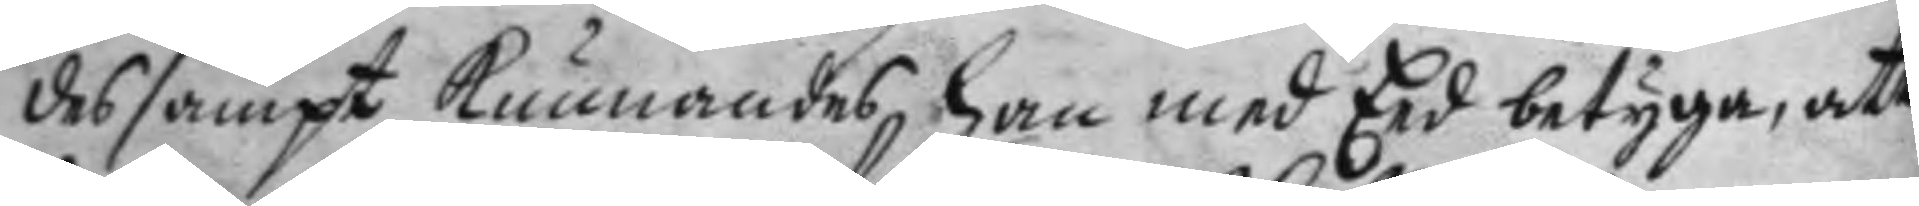des sampt kunnandes han med Eed betyga, att
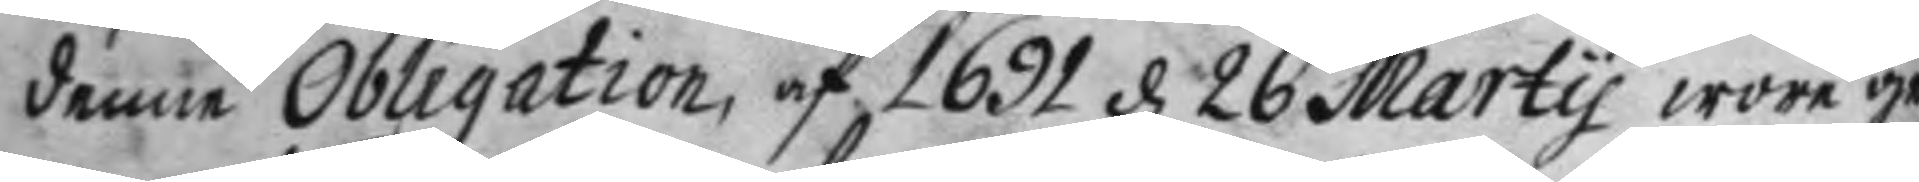denne Obligation, af 1691 d 26 Marty wore ge¬
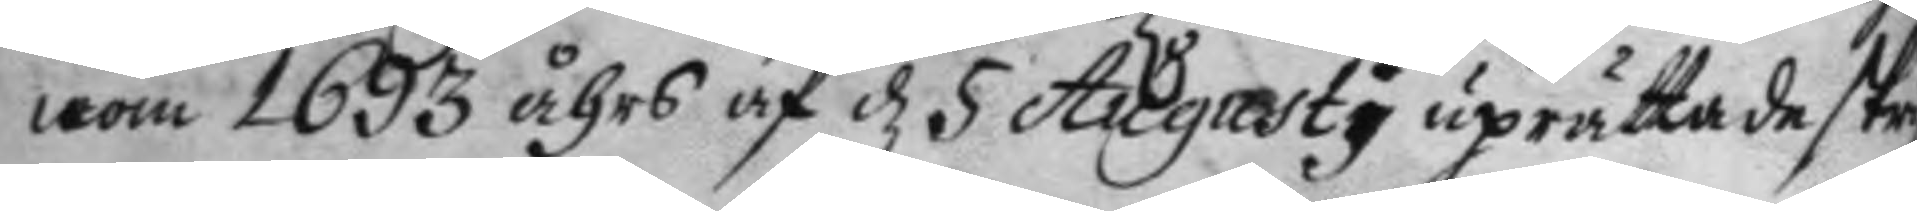nom 1693 åhrs af d 5 Augusty uprättade skri
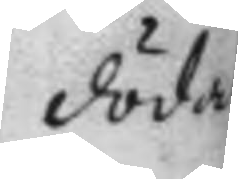dödad
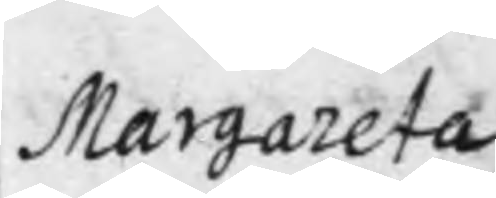Margareta
